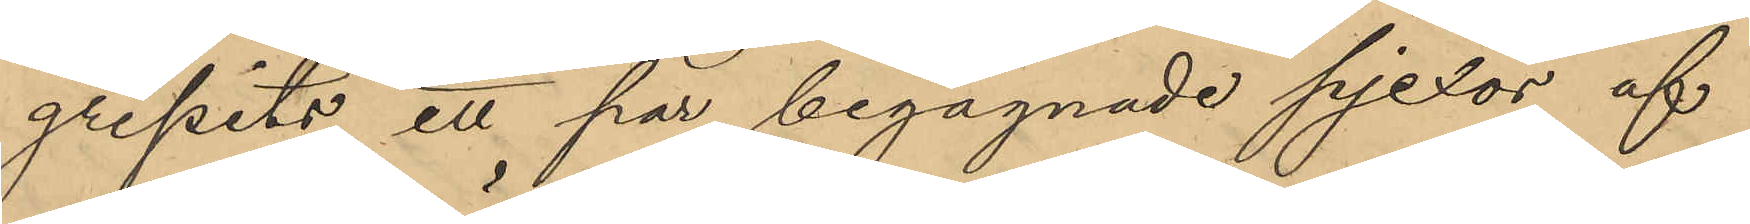gripits ett par begagnade pjexor af
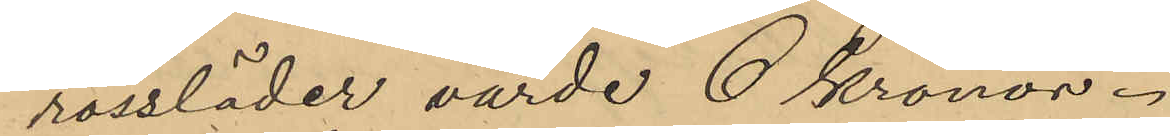rossläder värde 6 Kronor.
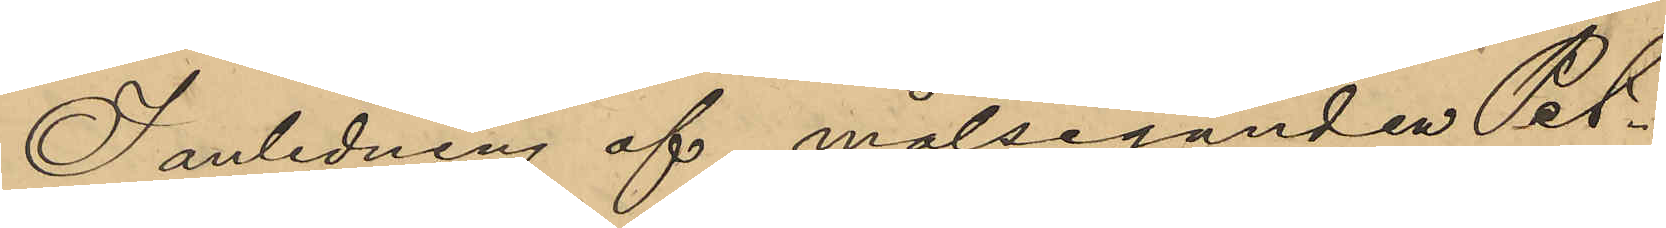I anledning af målseganden Pet¬
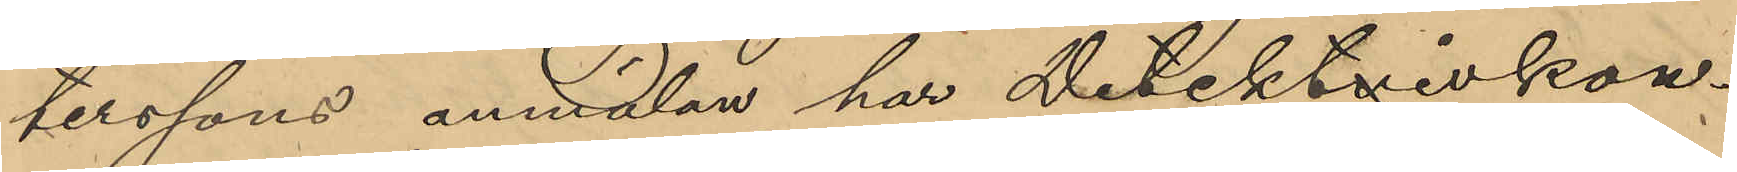terssons anmälan har detektivkon¬
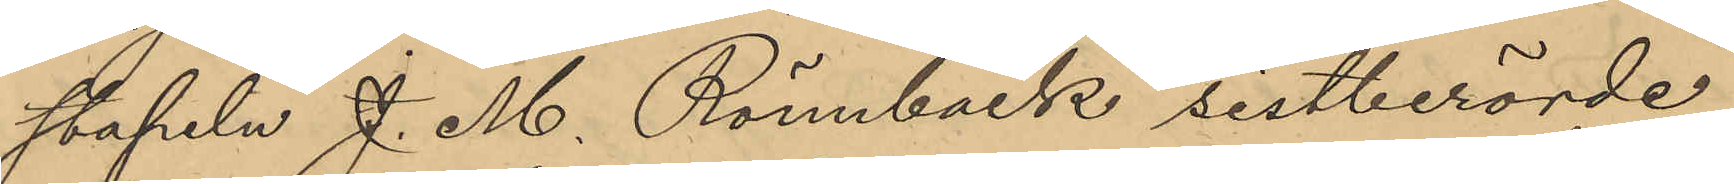stapeln J. M. Rönnbäck sistberörde
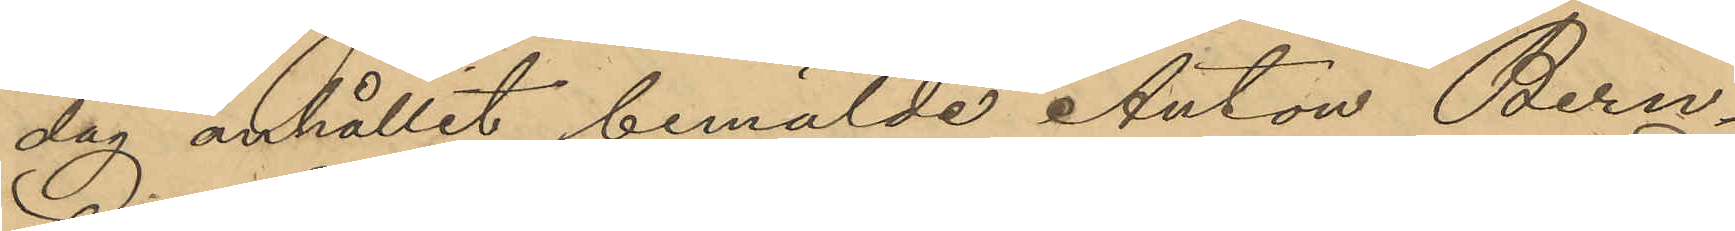dag anhållit bemälde Anton Bern¬
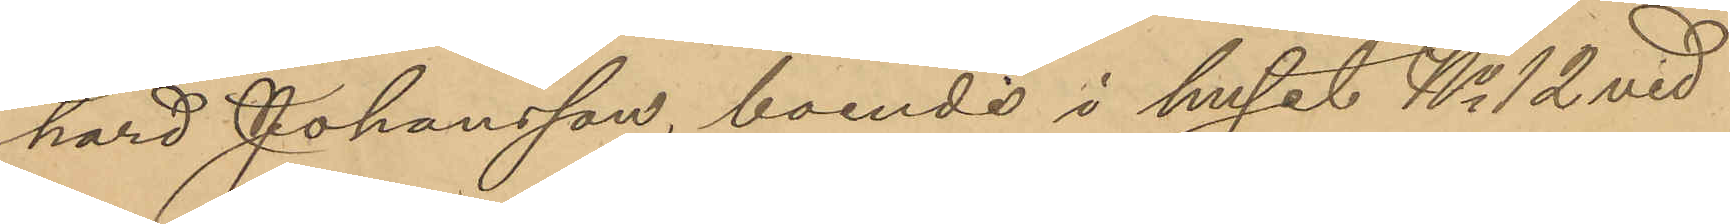hard Johansson, boende i huset No 12 vid
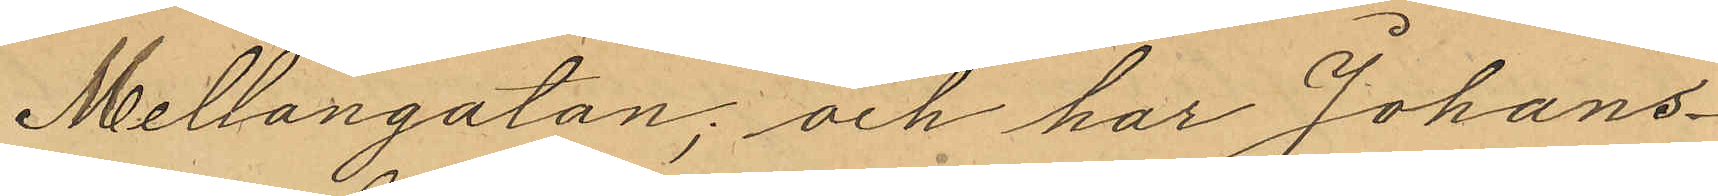Mellangatan; och har Johans¬
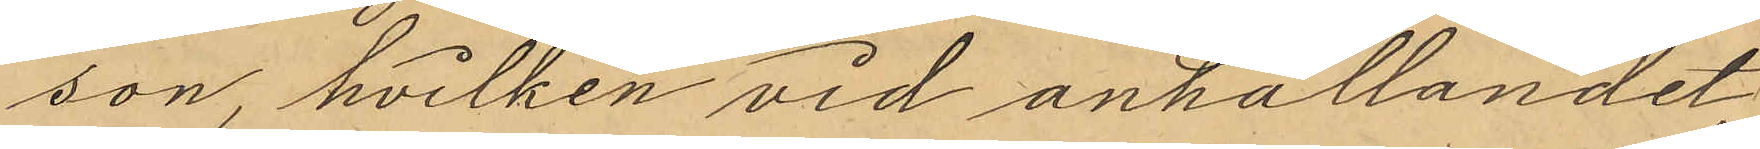son, hvilken vid anhålllandet
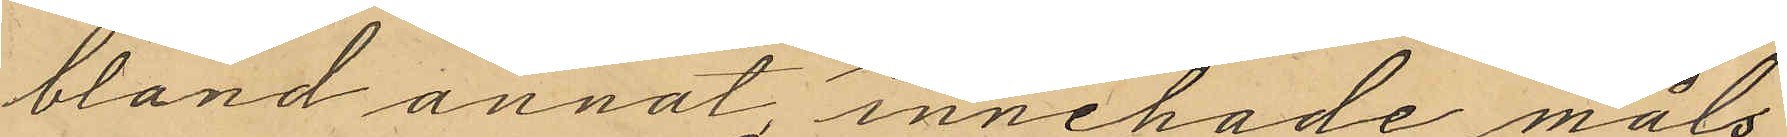bland annat innehade måls¬
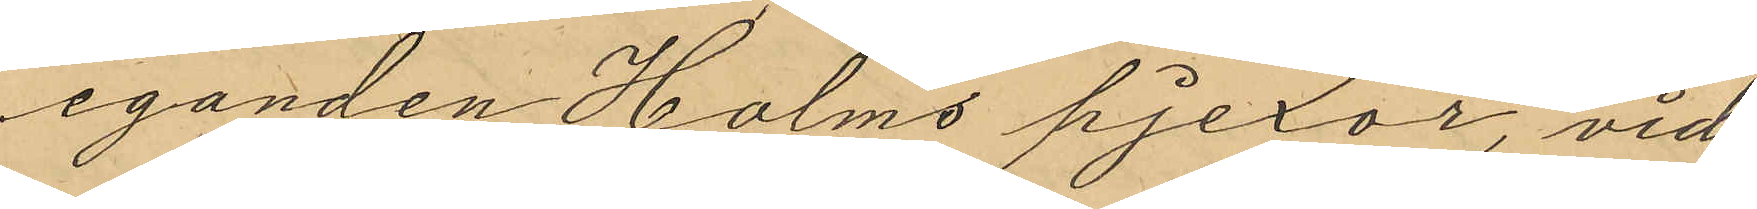eganden Holms pjexor, vid
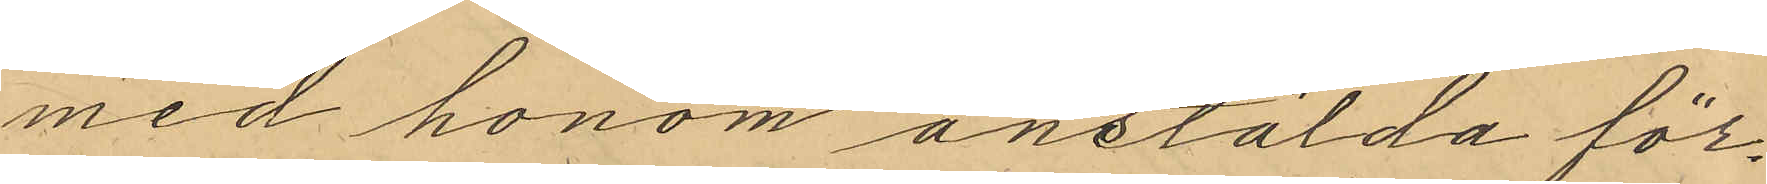med honom anstälda för¬
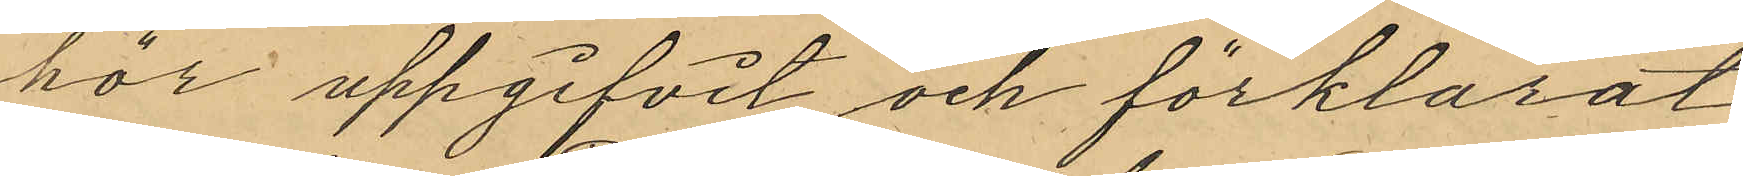hör uppgifvit och förklarat
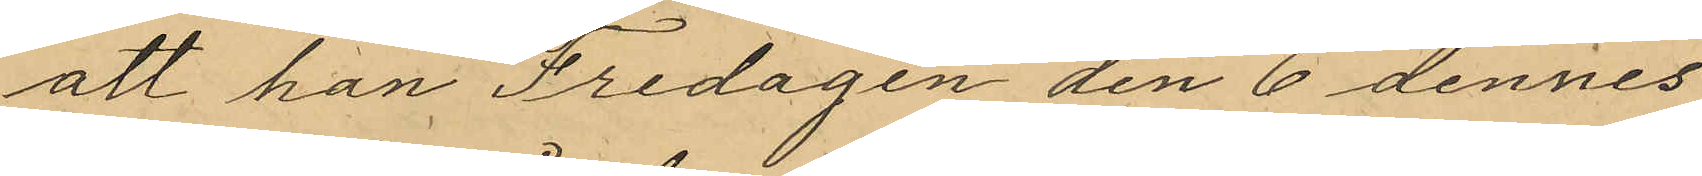att han Fredagen den 6 dennes
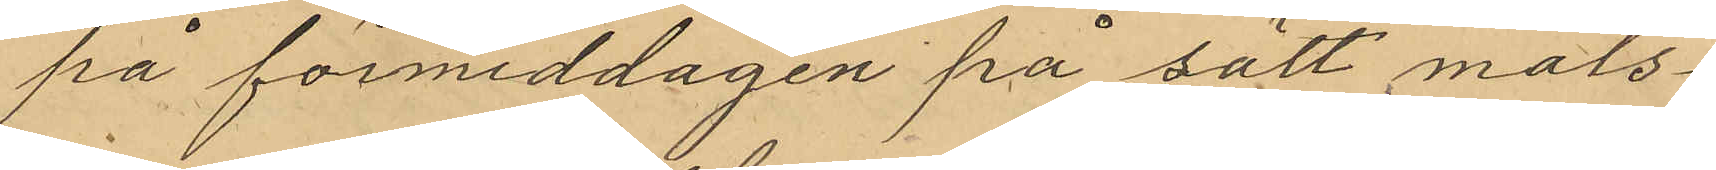på förmiddagen på sätt måls¬
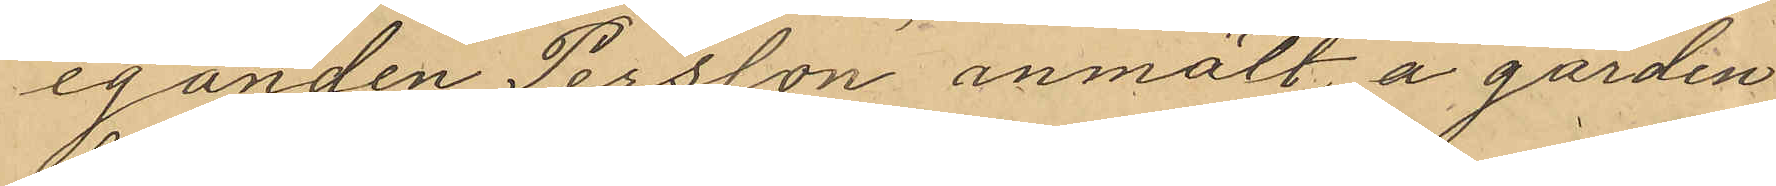eganden Persson anmält, å gården
